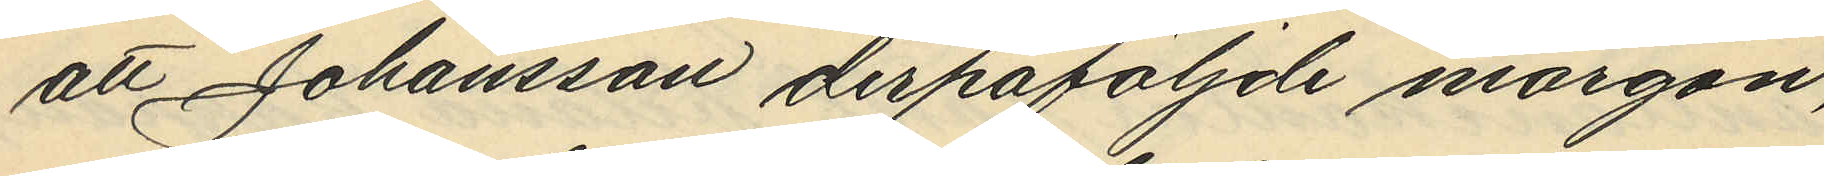att Johansson derpåföljande morgon
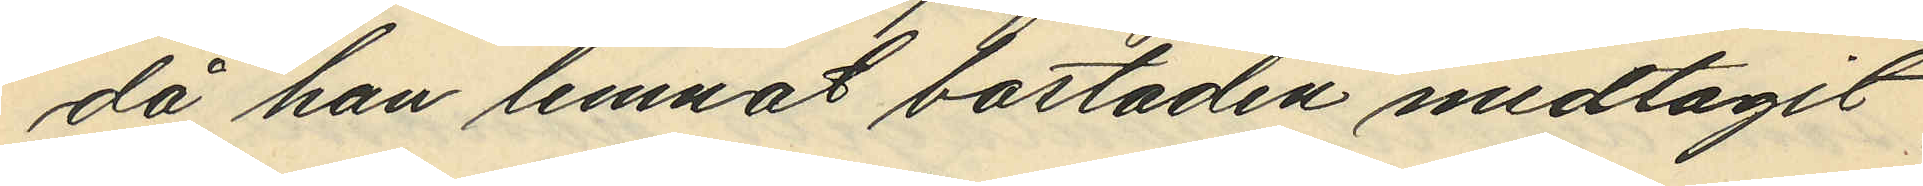då han lemnat bostaden medtagit
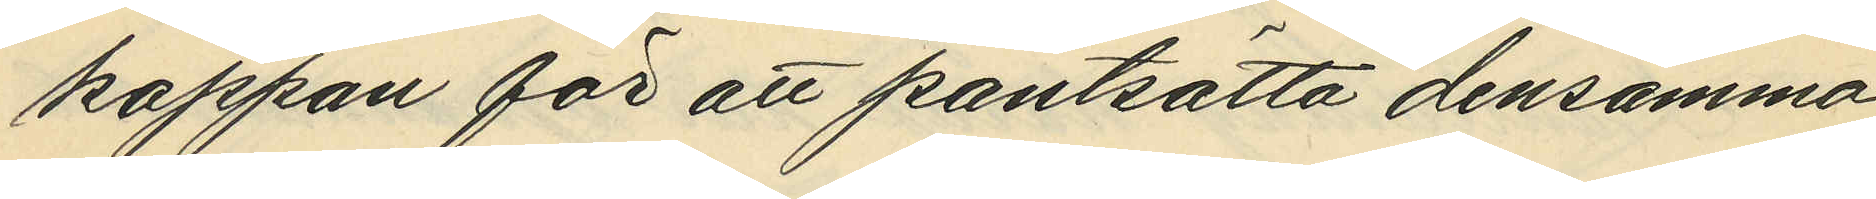kappan för att pantsätta densamma,
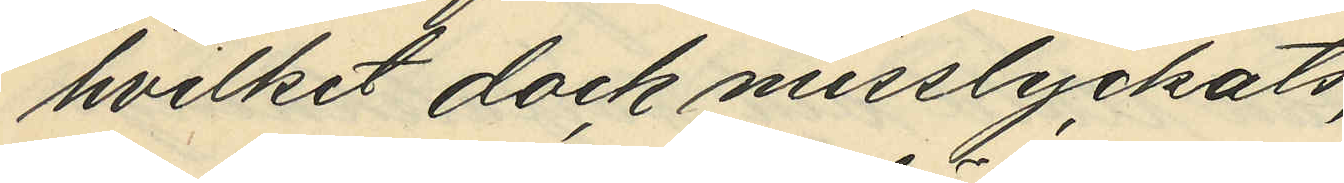hvilket dock misslyckats,
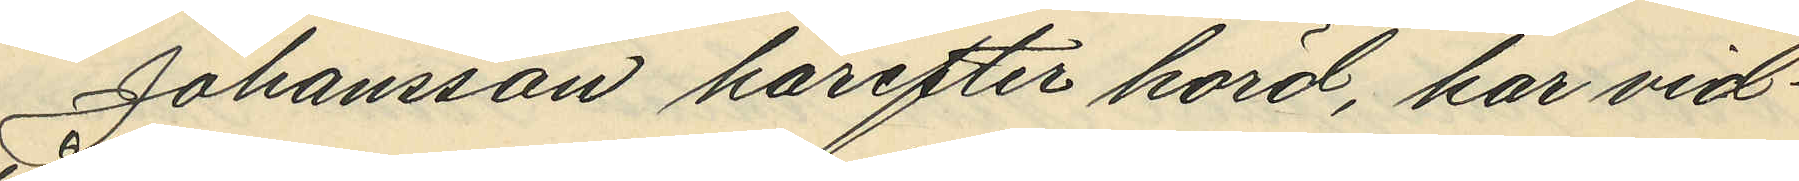Johansson härefter hörd, har vid¬
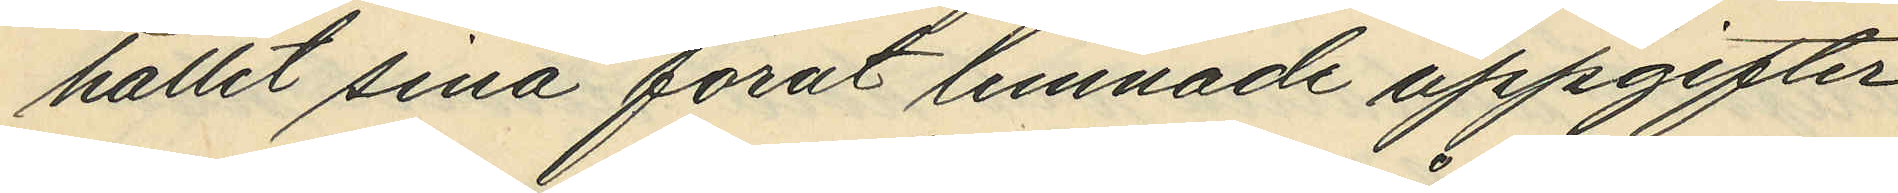hållit sina förut lemnade uppgifter.
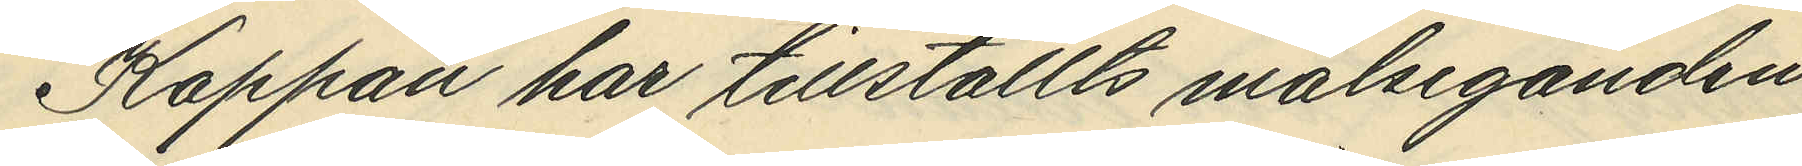Kappan har tillställts målseganden.
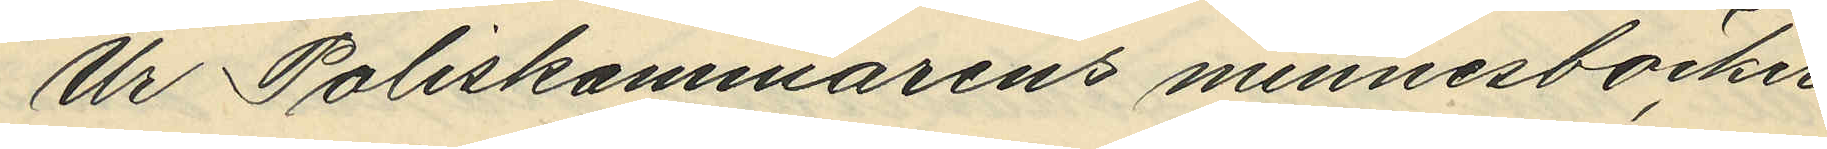Ur Poliskammarens minnesböcker
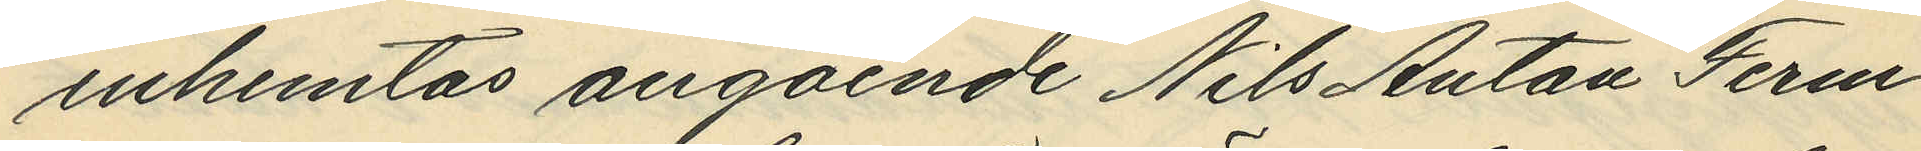inhemtas angående Nils Anton Ferm
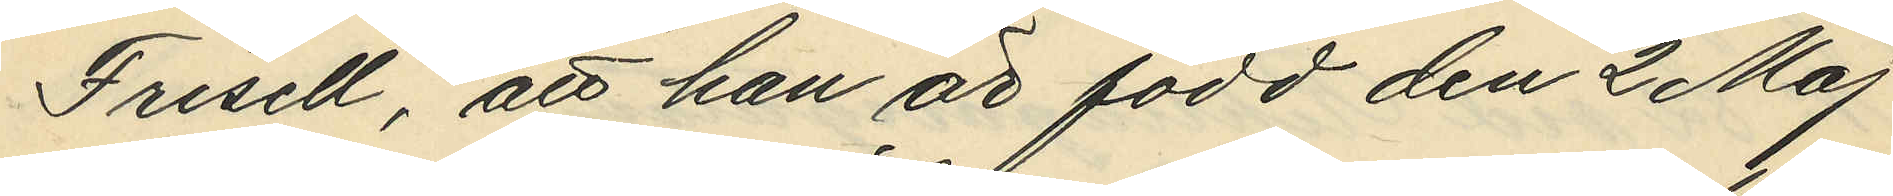Frisell, att han är född den 2 Maj
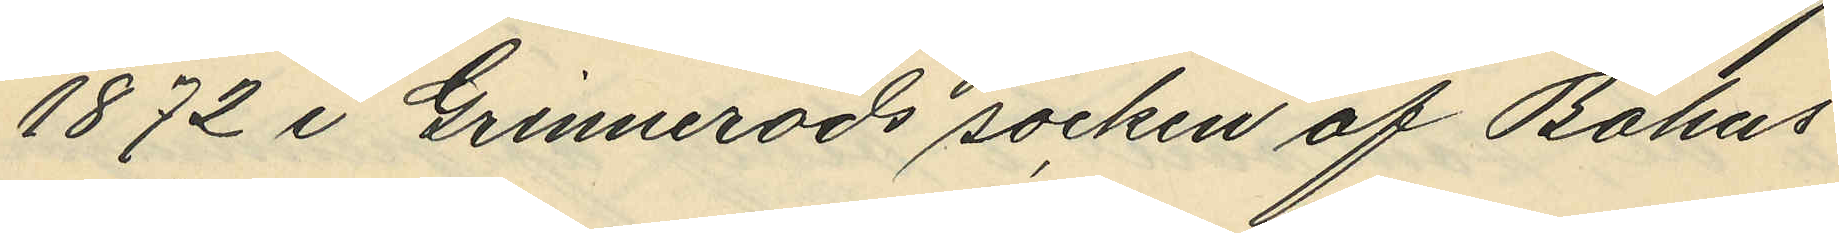1872 i Grimmeröds socken af Bohus
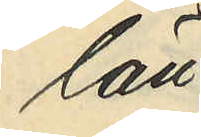län,
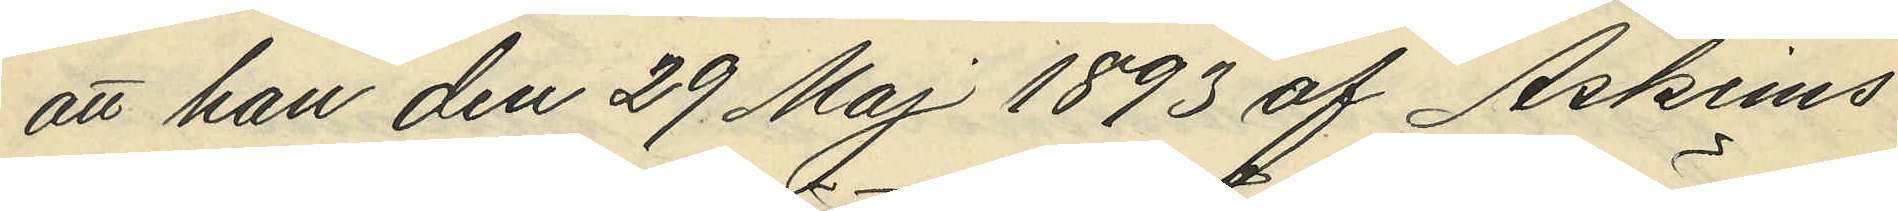att han den 29 Maj 1893 af Askims
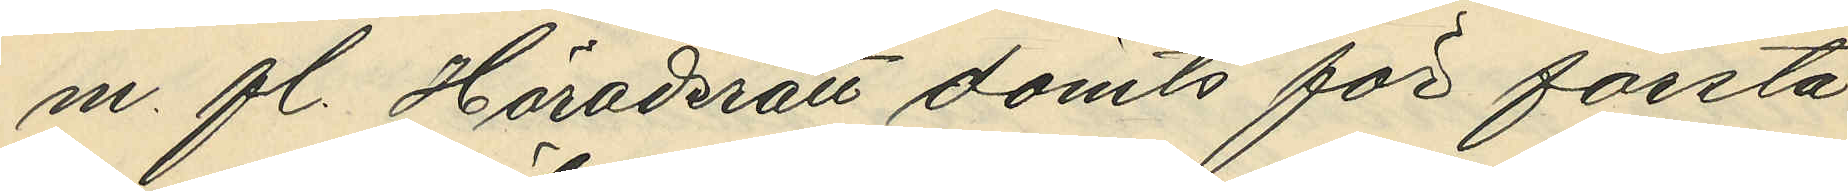m. fl. Häradsrätt dömts för första
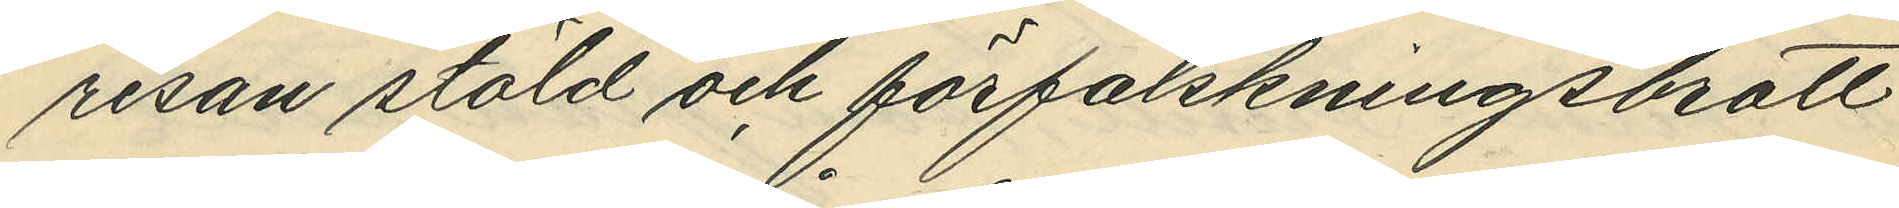resan stöld och förfalskningsbrott
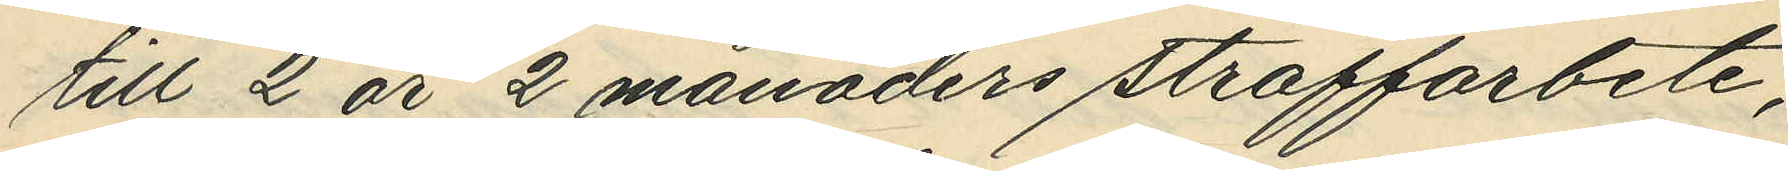till 2 år 2 månaders straffarbete;
